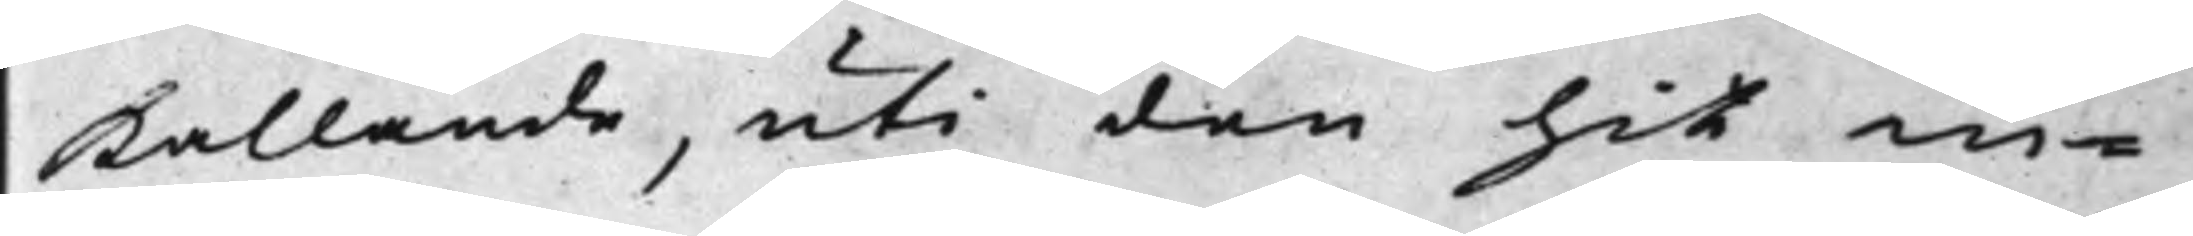Kallande, uti den hit in¬
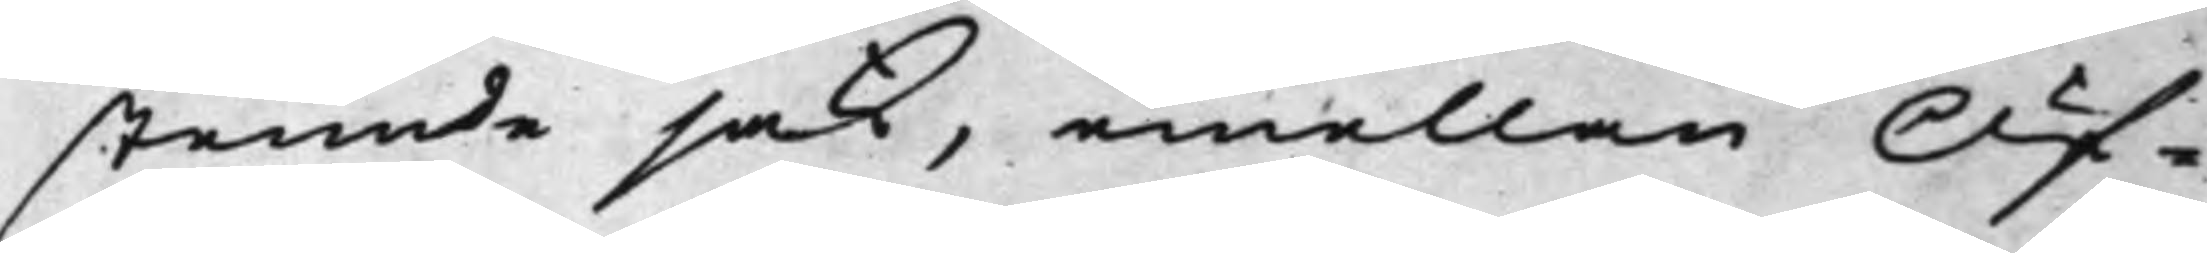stemde sak, emellan Öf¬
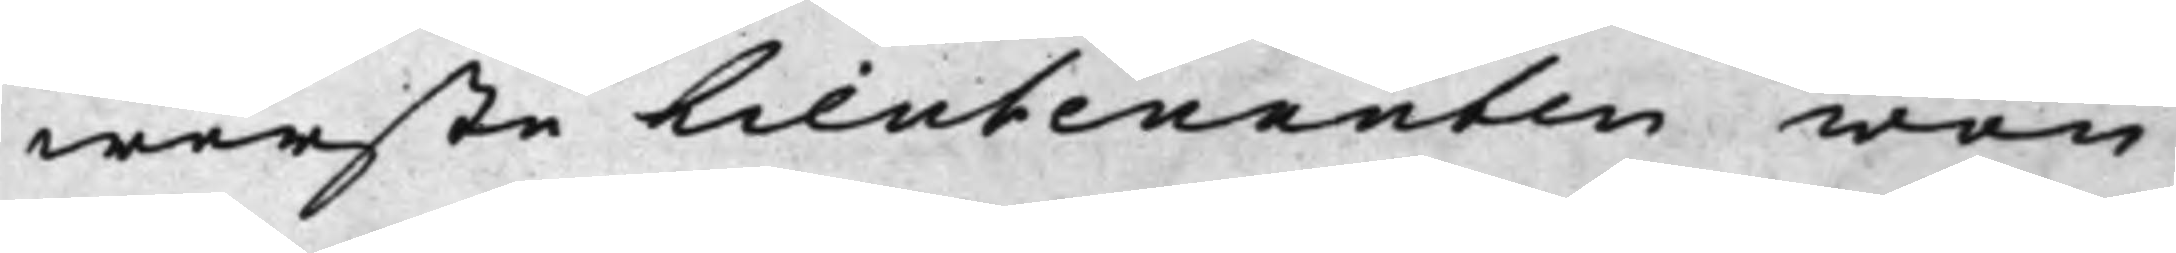werste Lieutenanten von
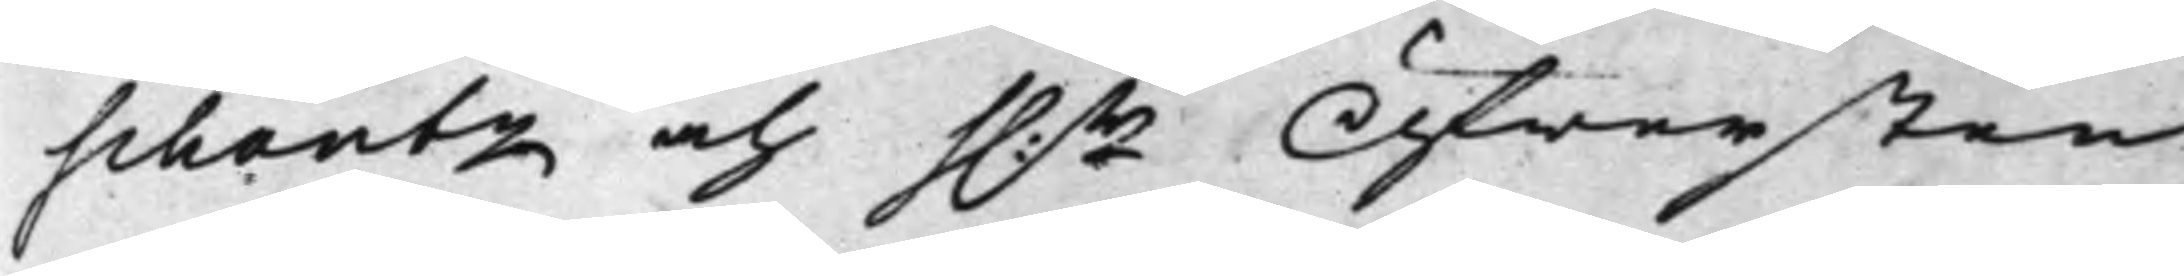Schantz och h.r Öfwersten
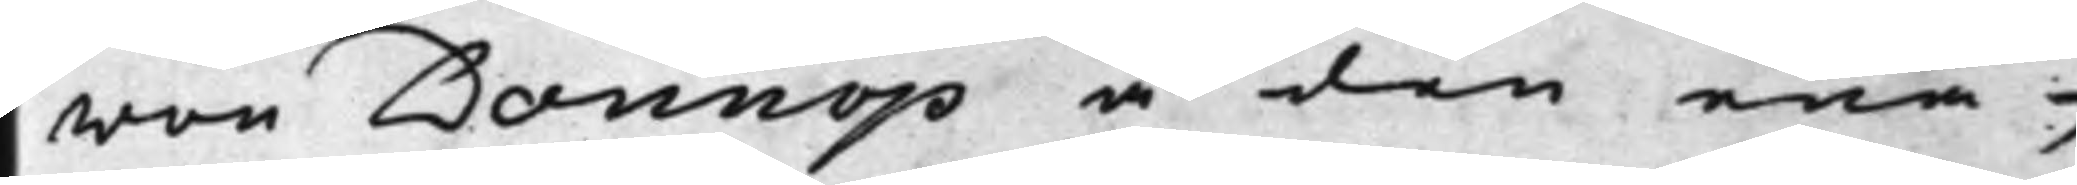von Donnop å den ena,
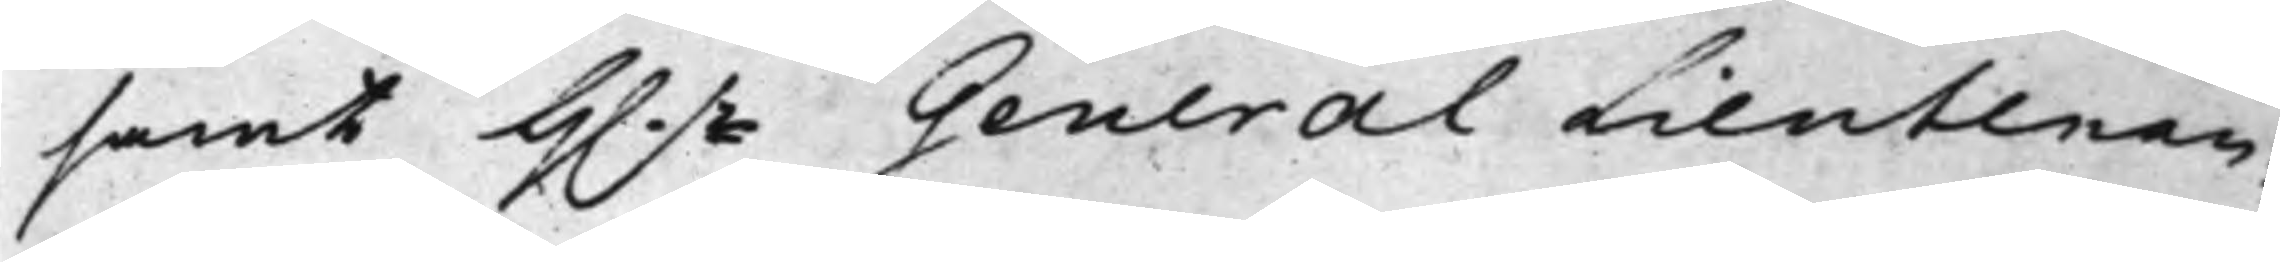samt H.r GeneralLieutenan¬
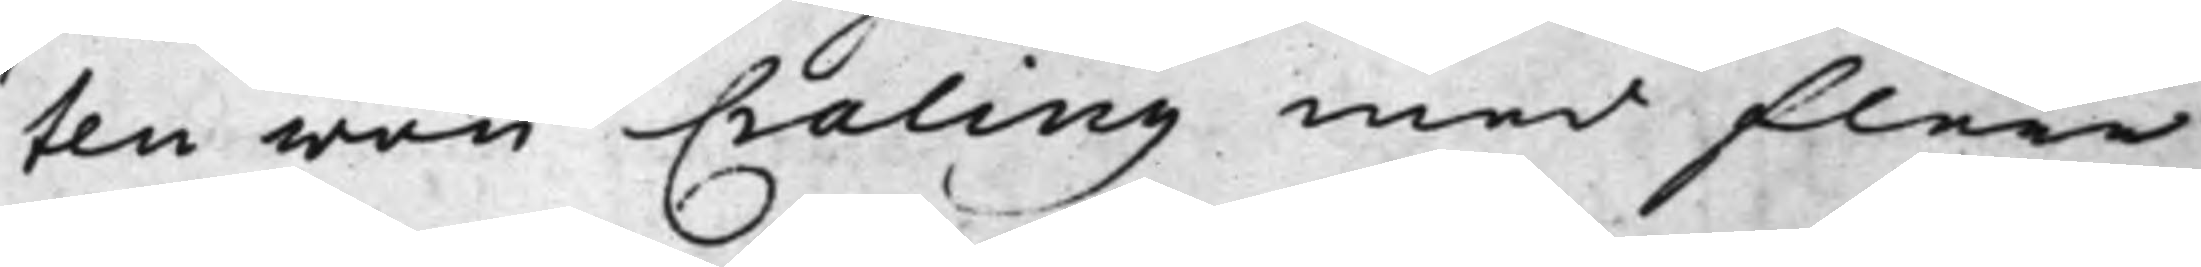ten von Craling med flere
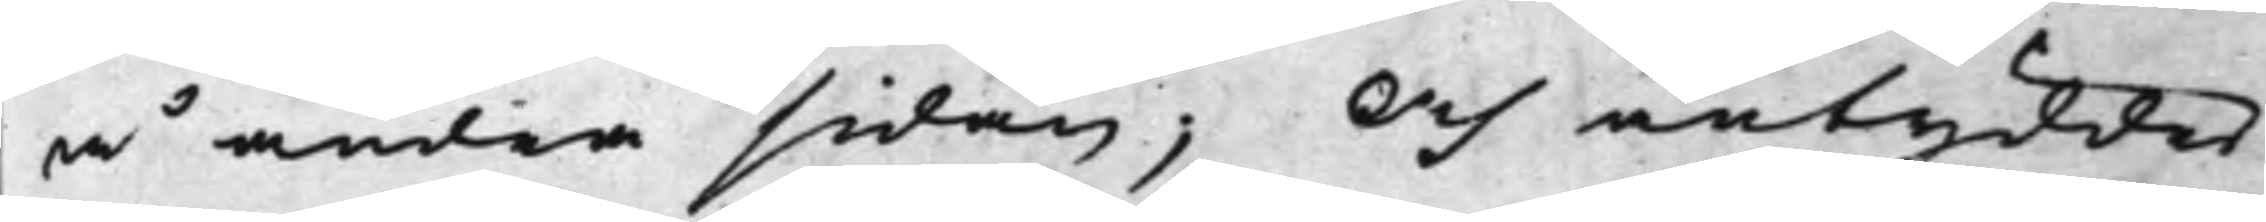å andra sidan; Och antyddes
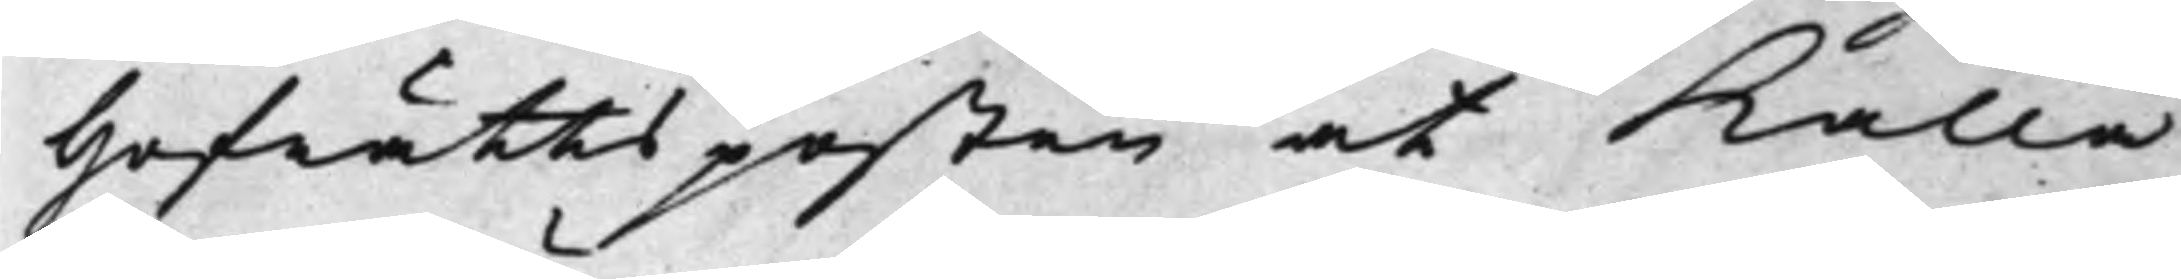Hofrättsposten at Kalla
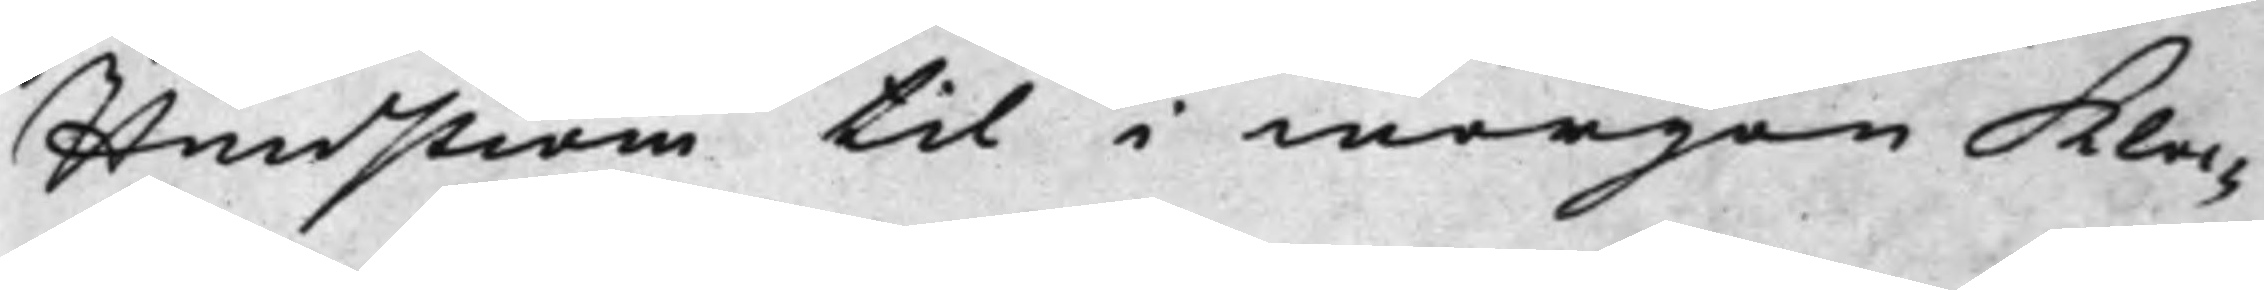Hindström til i morgon kloc¬
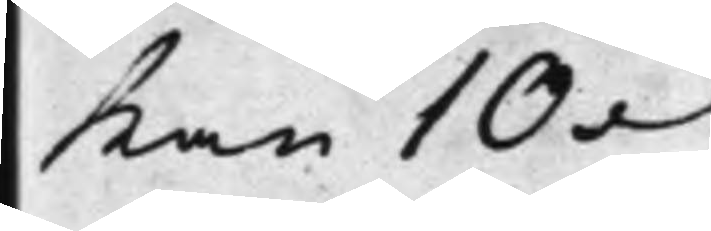kan 10.
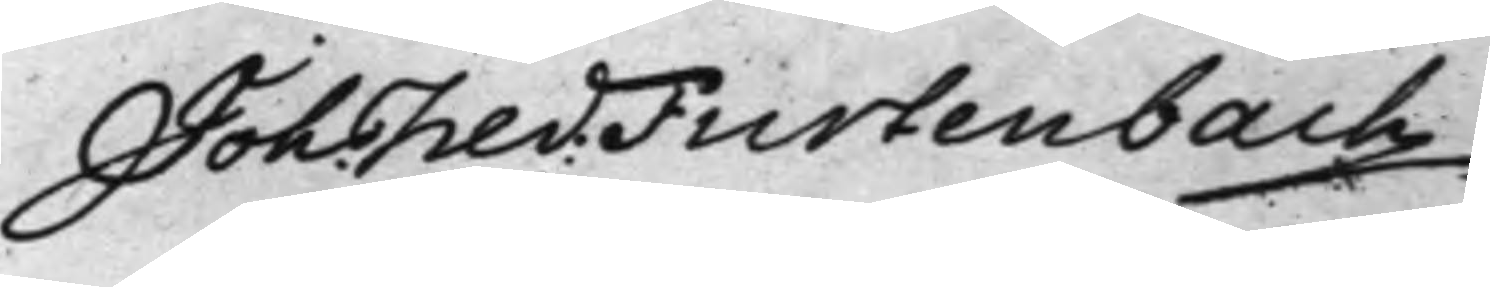Joh. Fred: Furtenbach
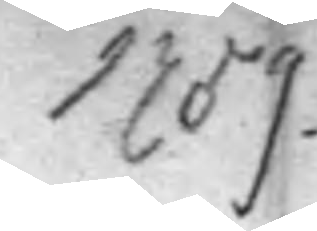1759.
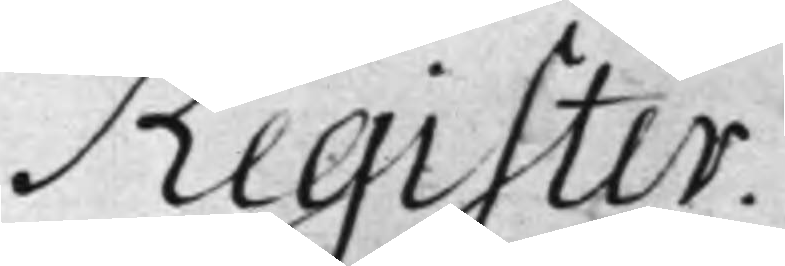Register.
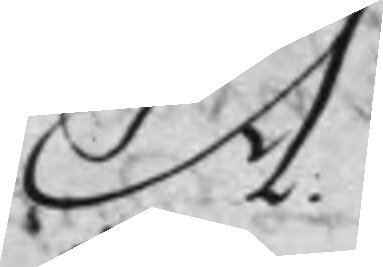A.
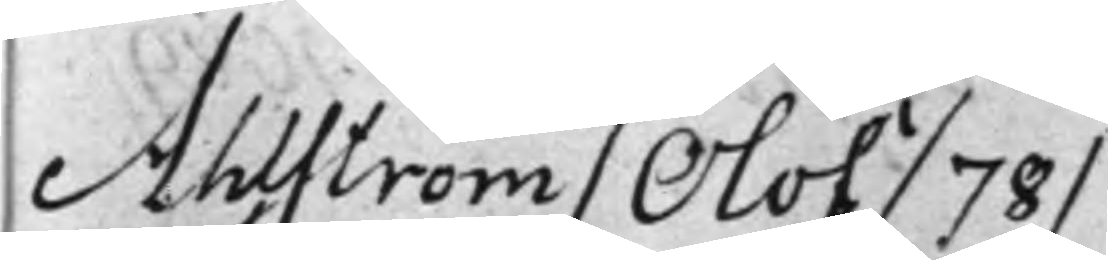Ahlström / Olof / 78 /
